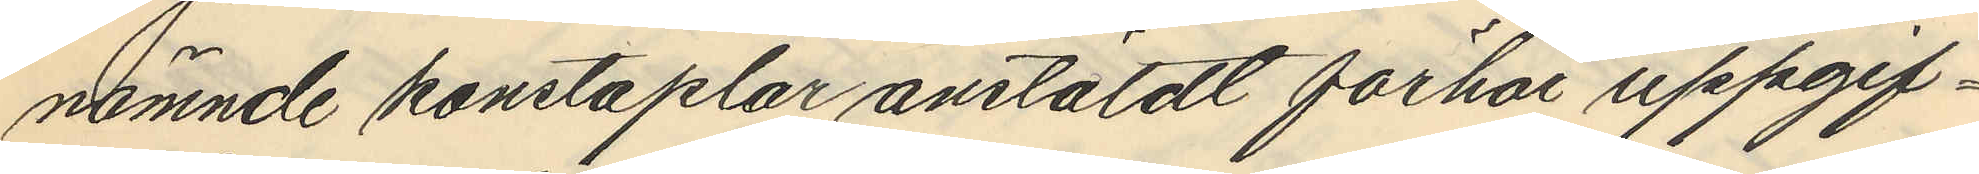nämnde konstaplar anstäldt förhör uppgif¬
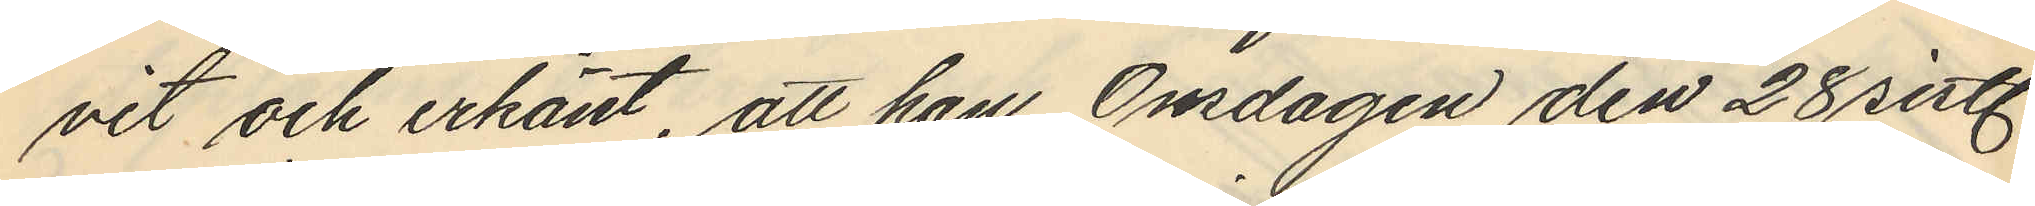vit och erkänt, att han Onsdagen den 28 sistl.
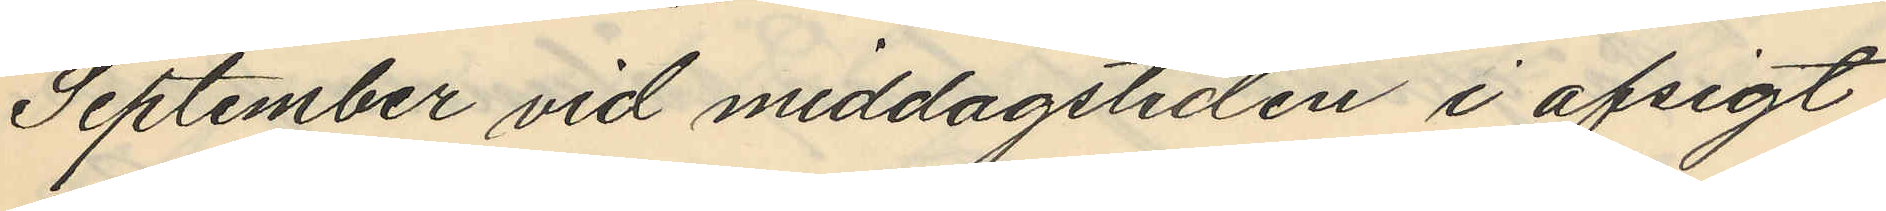September vid middagstiden i afsigt
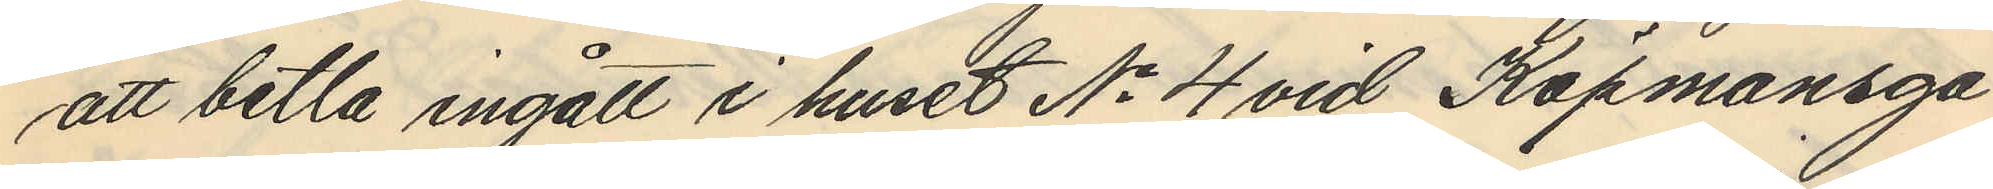att betla ingått i huset No 4 vid Köpmansga¬
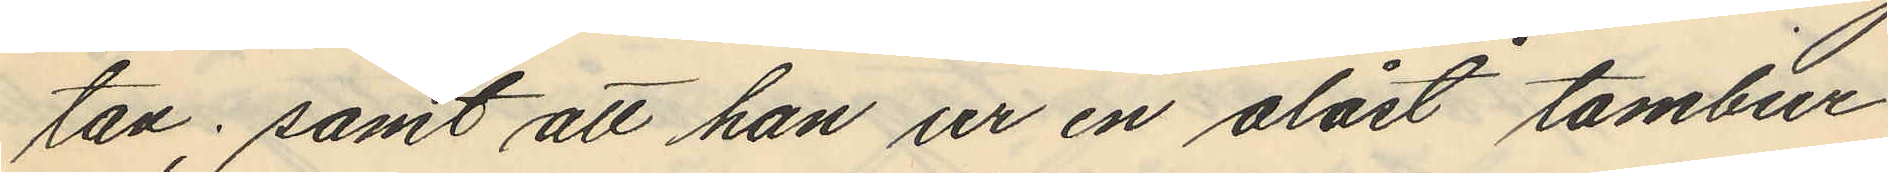tan; samt att han ur en olåst tambur
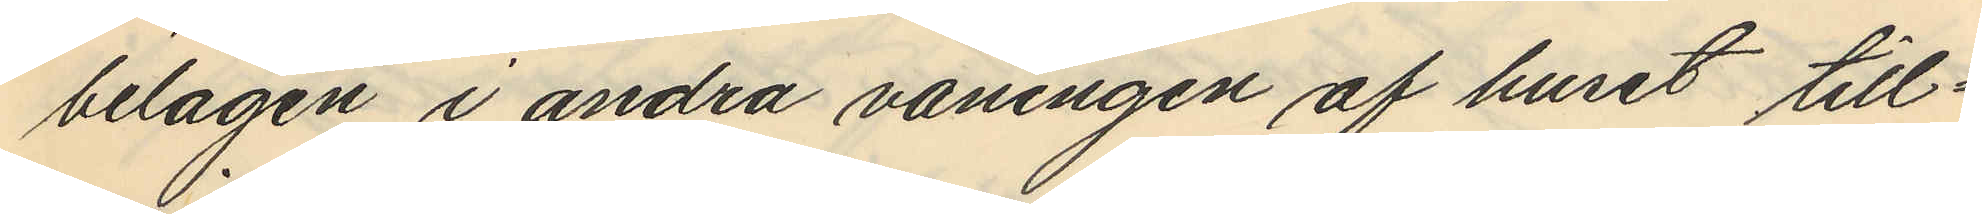belägen i andra våningen af huset till¬
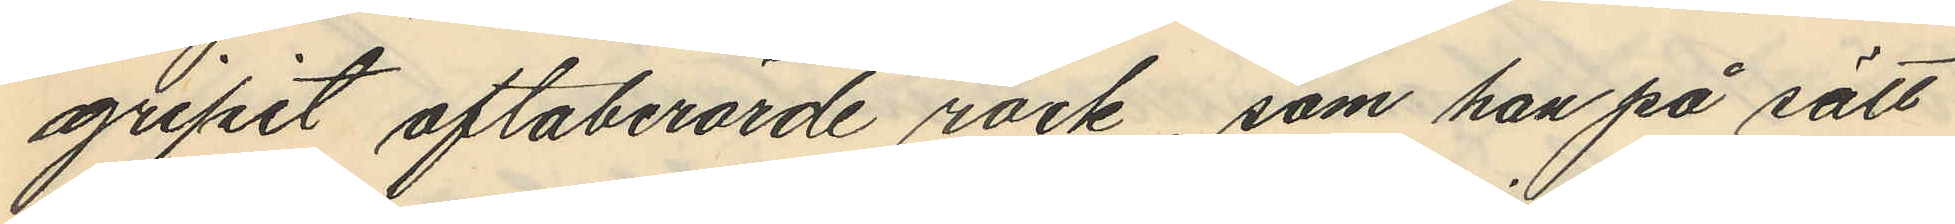gripit oftaberörde rock, som han på sätt
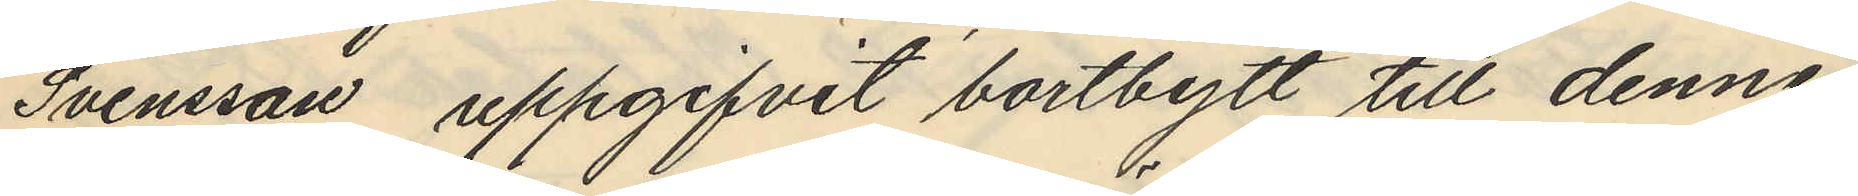Svensson, uppgifvit bortbytt till denne
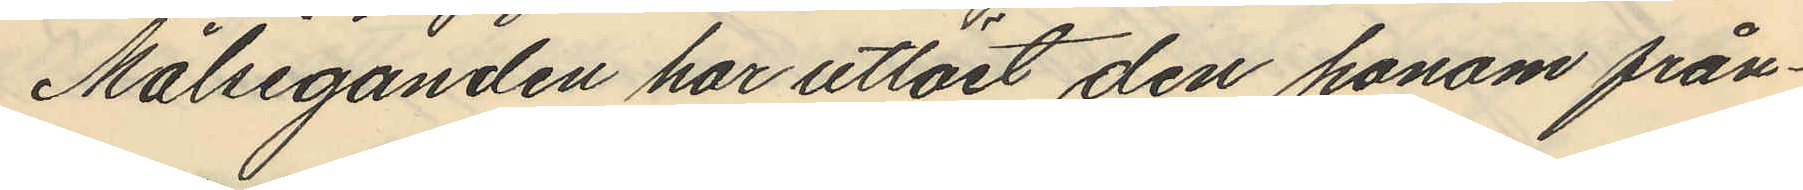Målseganden har utlöst den honom från¬
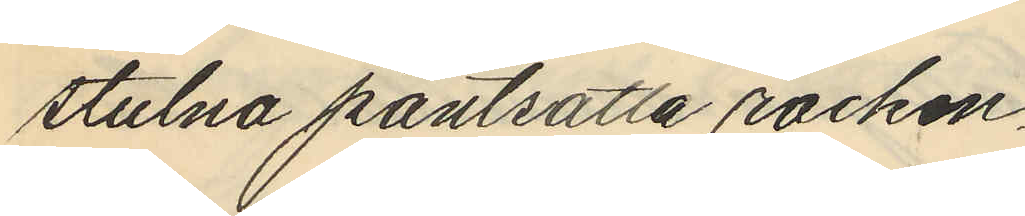stulna pantsatta rocken.
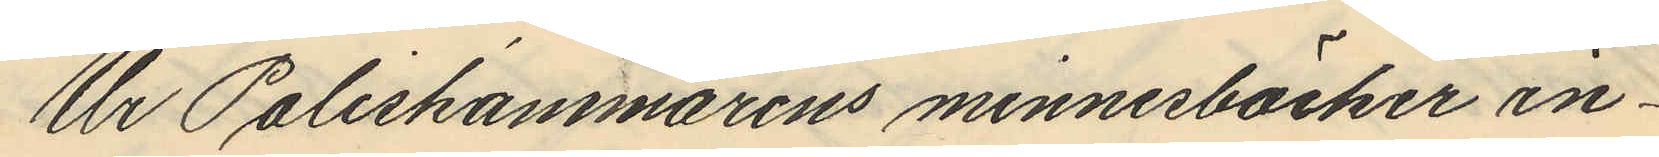Ur Poliskammarens minnesböcker in¬
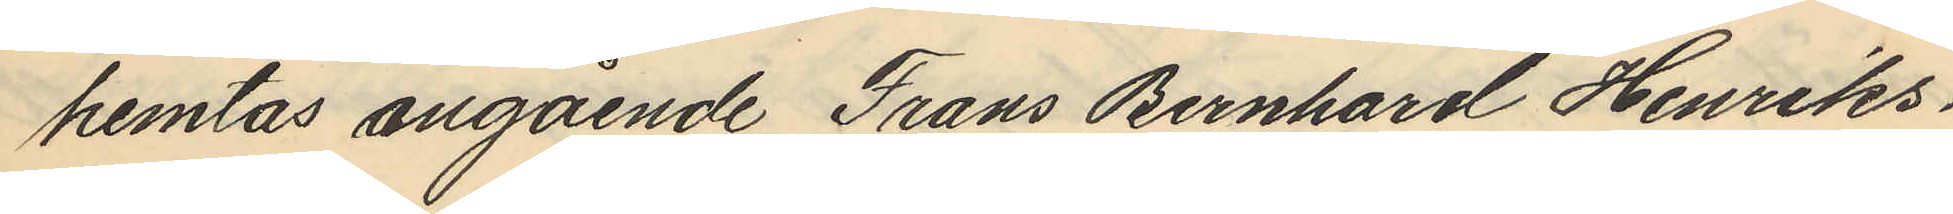hemtas angående Frans Bernhard Henriks¬
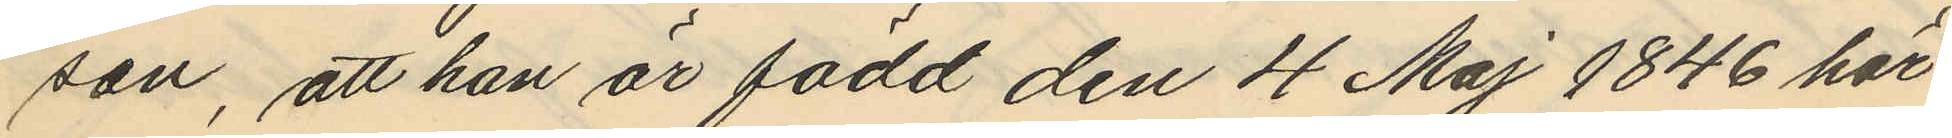son, att han är född den 4 Maj 1846 här
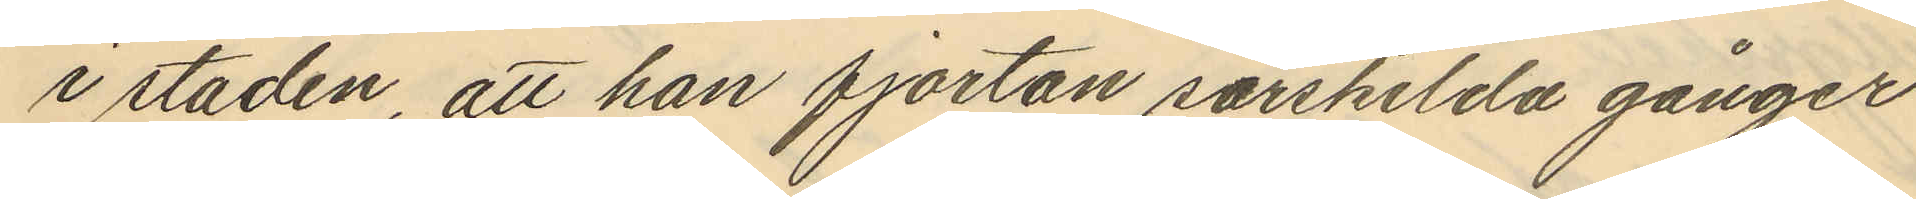i staden, att han fjorton särskilda gånger
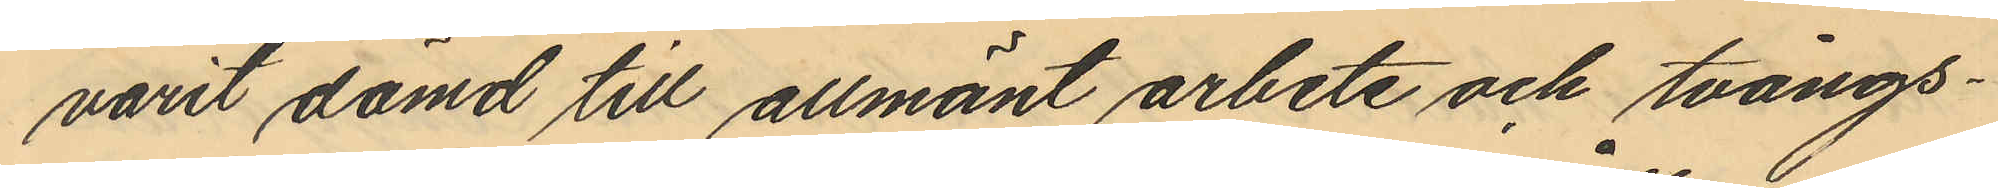varit dömd till allmänt arbete och tvångs¬
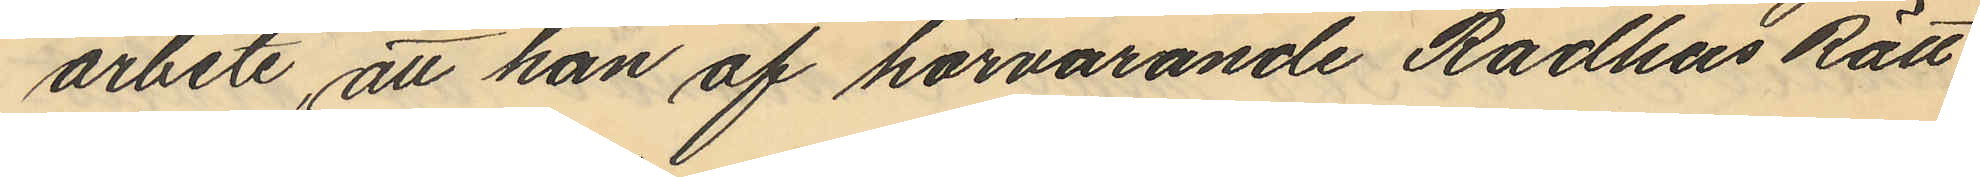arbete, att han af härvarande Rådhus Rätt
